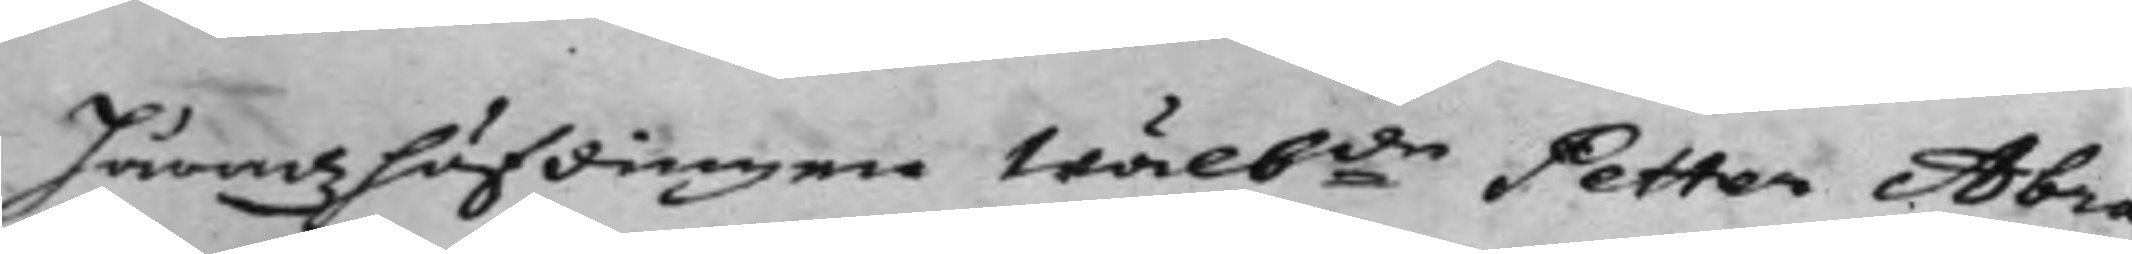Häradzhöfdingen Wälb:de Petter Abra¬
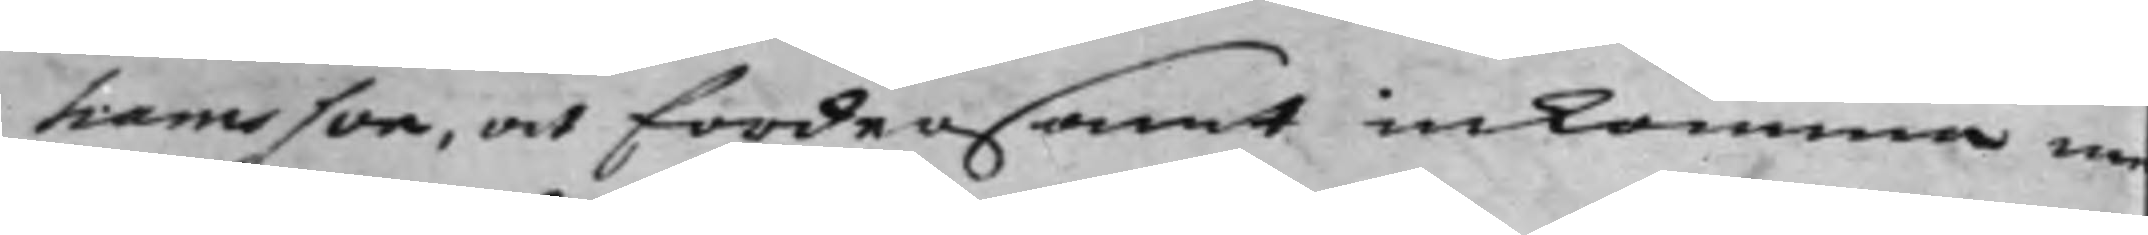hamsson, och fordersamt inkomma m
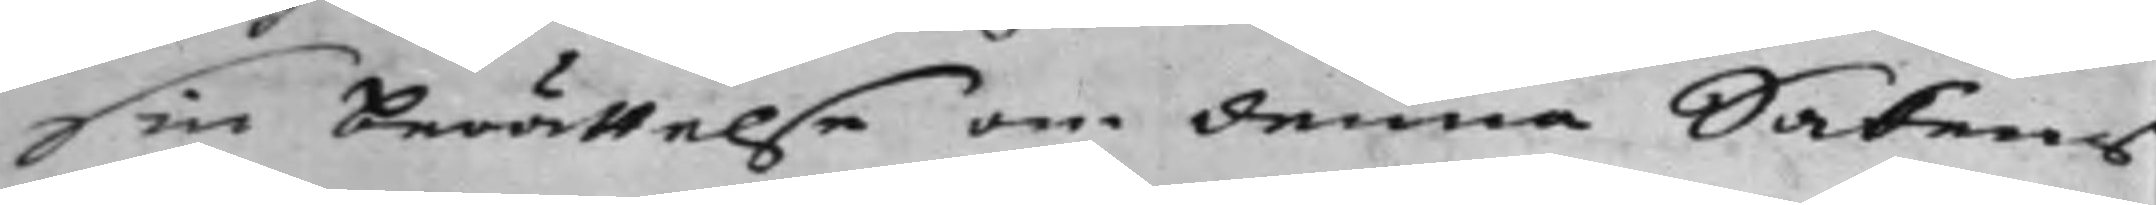sin berättelse om denna Sakens
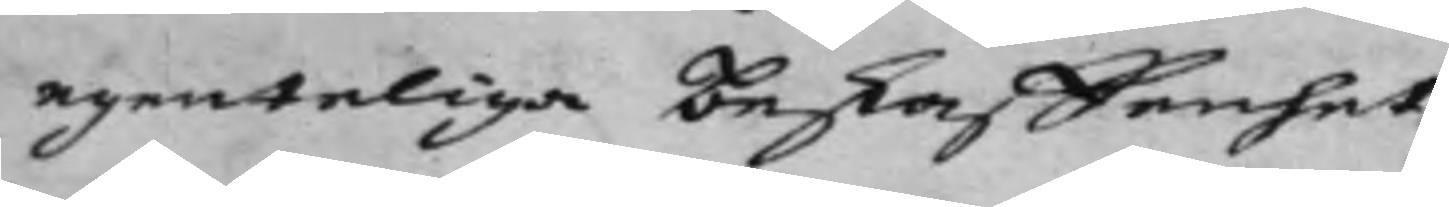egenteliga beskaffenhet.
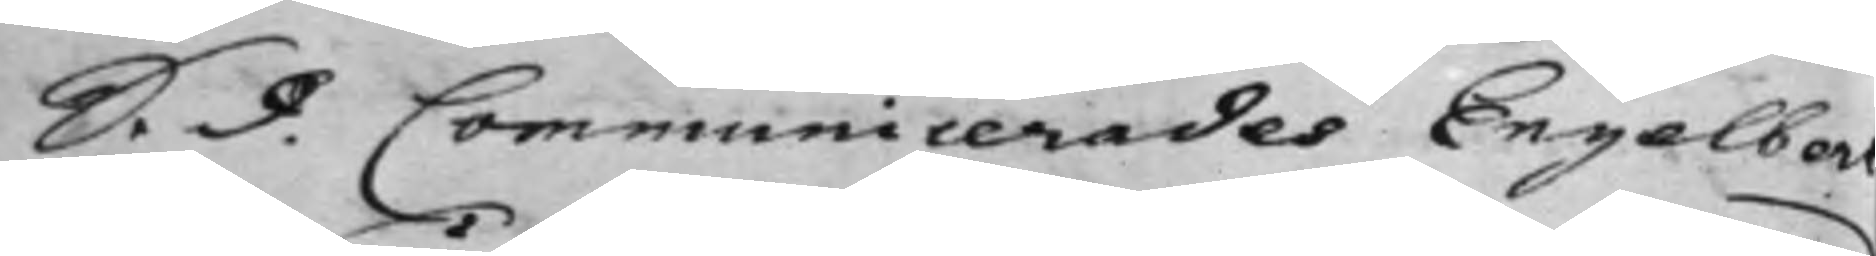S. d. Communicerades Engelbert
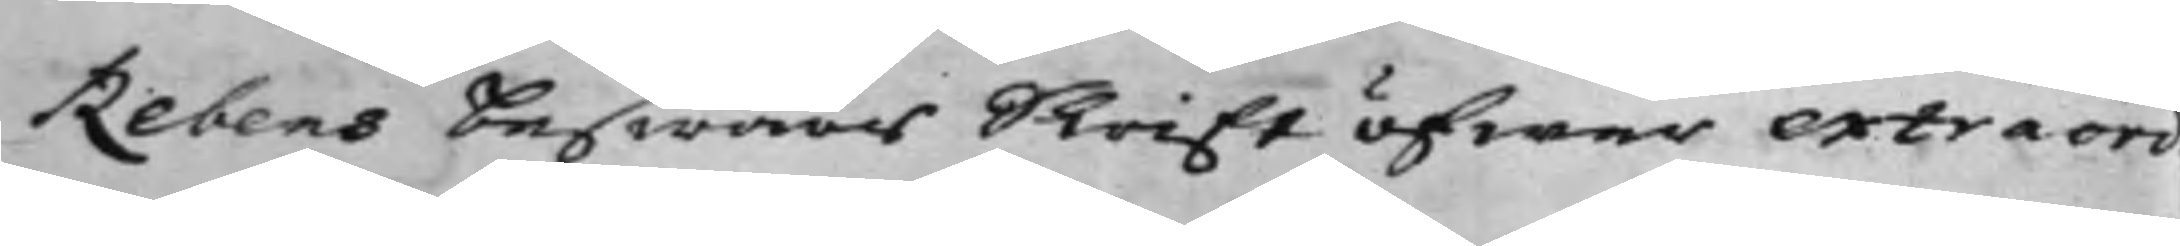Rebens beswärs Skrift öfwer extraord¬
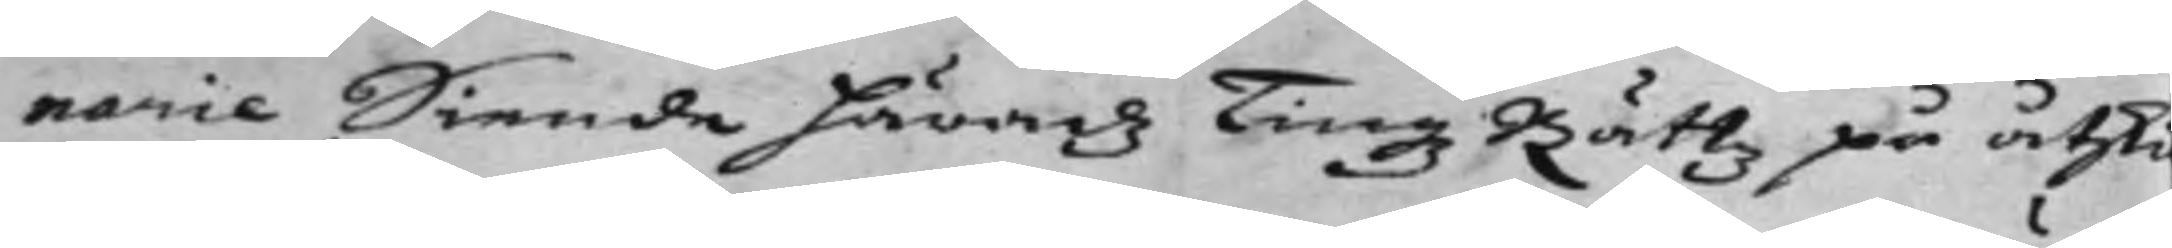narie Siende Häradz Tingz Rättz på åtski¬
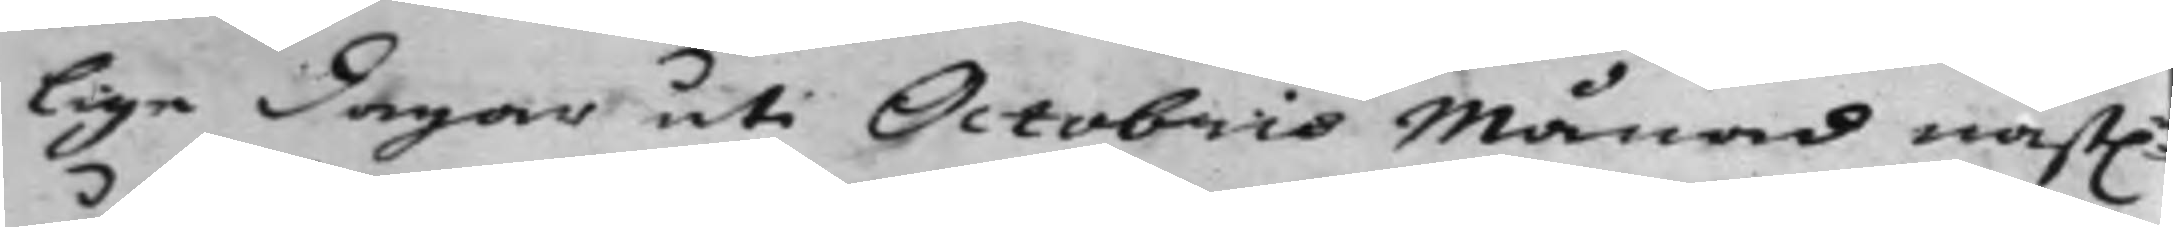lige Dagar uti Octobris Månad näst:
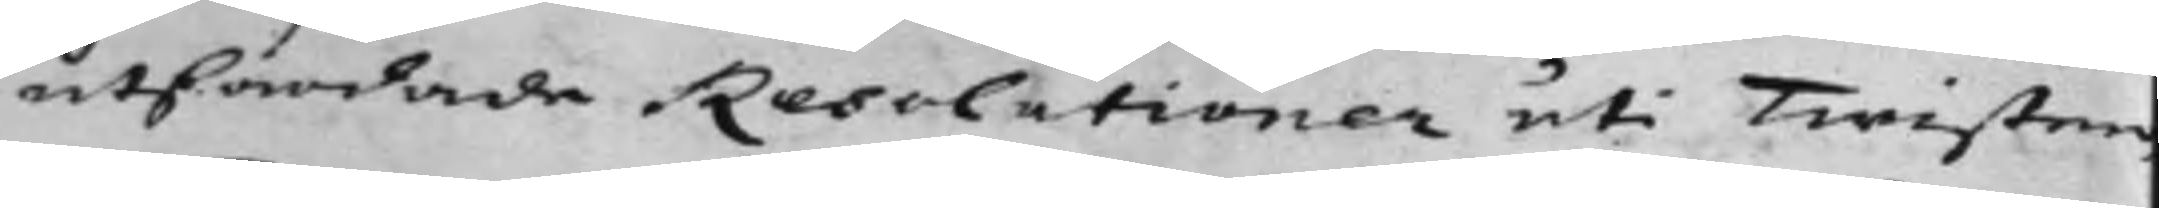utfärdade Resolutioner uti Twisten
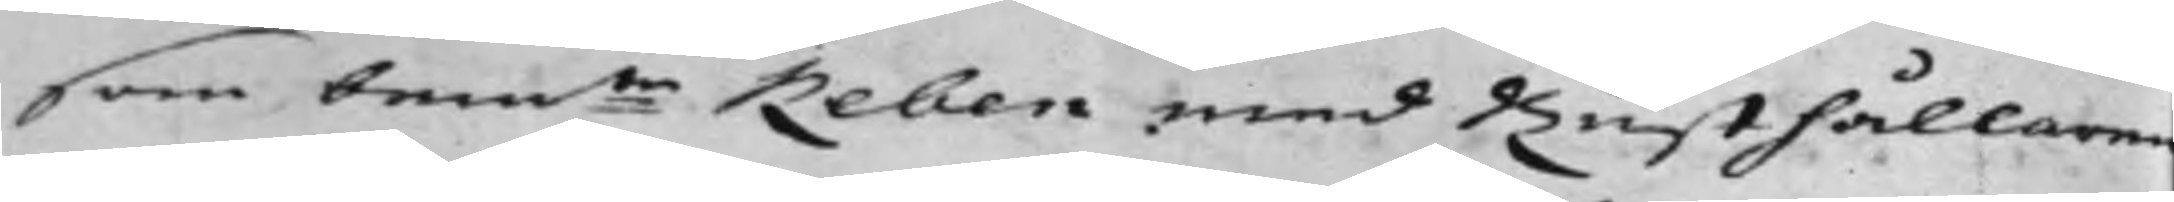som bem:te Reben med Rusthållaren
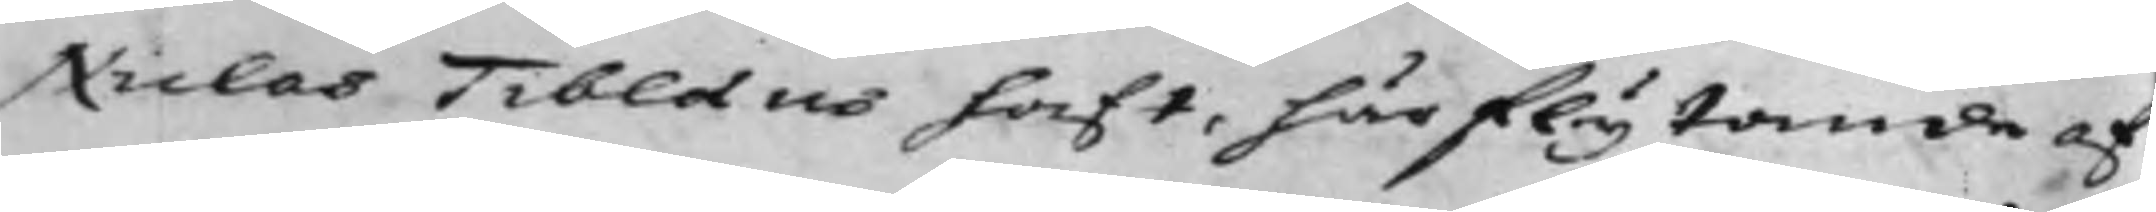Niclas Tiblaeus haft, härflytande af
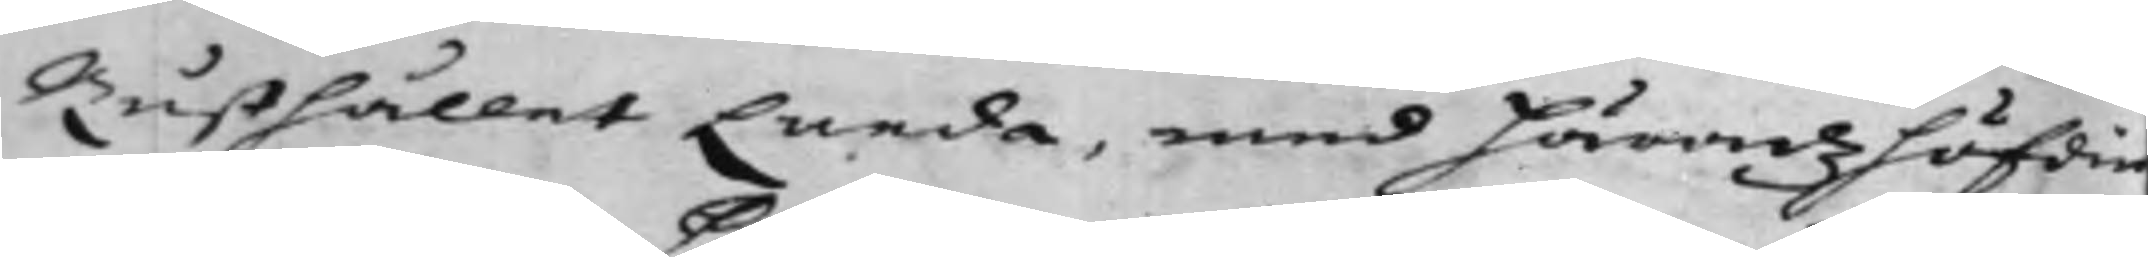Rusthållet Lunda, med Häradzhöfdin¬
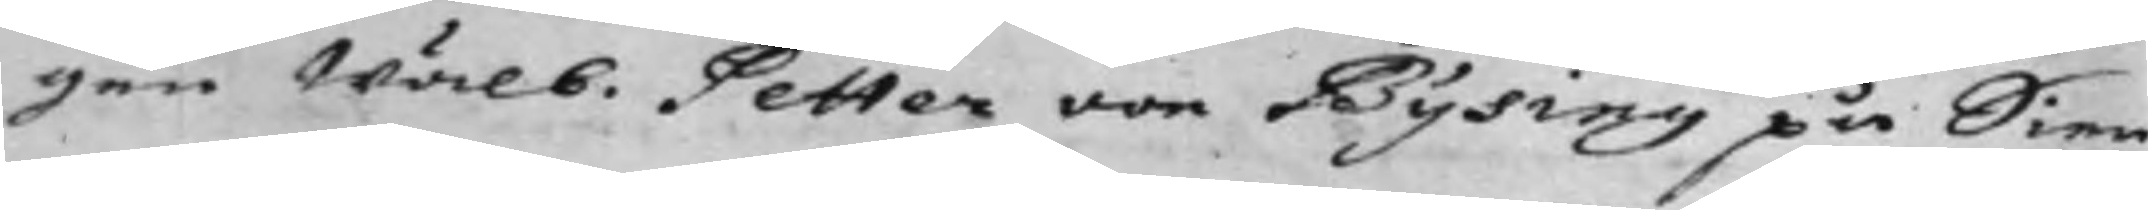gen Wälb. Petter von Bysing på Sien¬
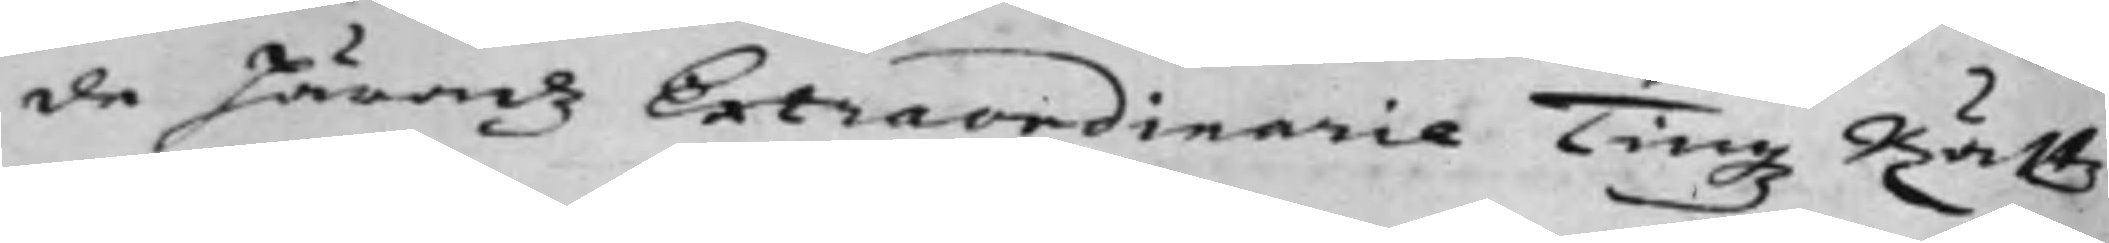de Häradz Extraordinarie Tingz Rättz
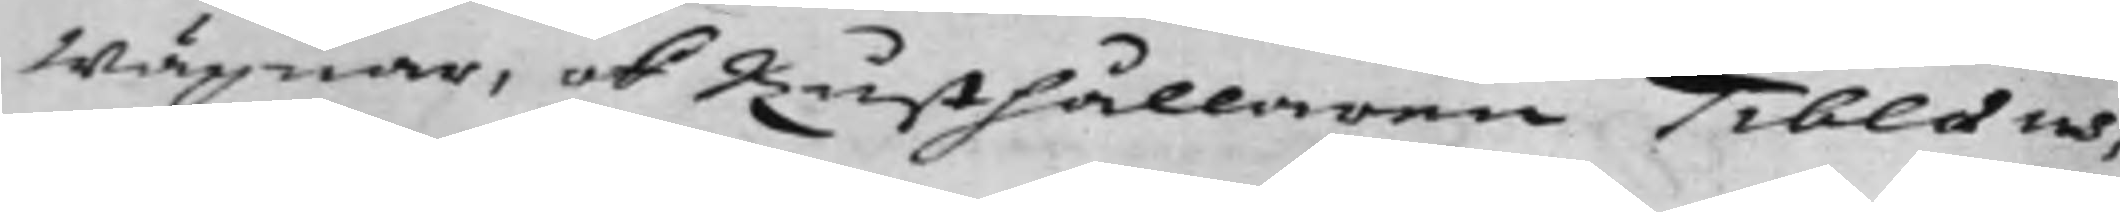Wägnar, ok Rusthållaren Tiblaeus,
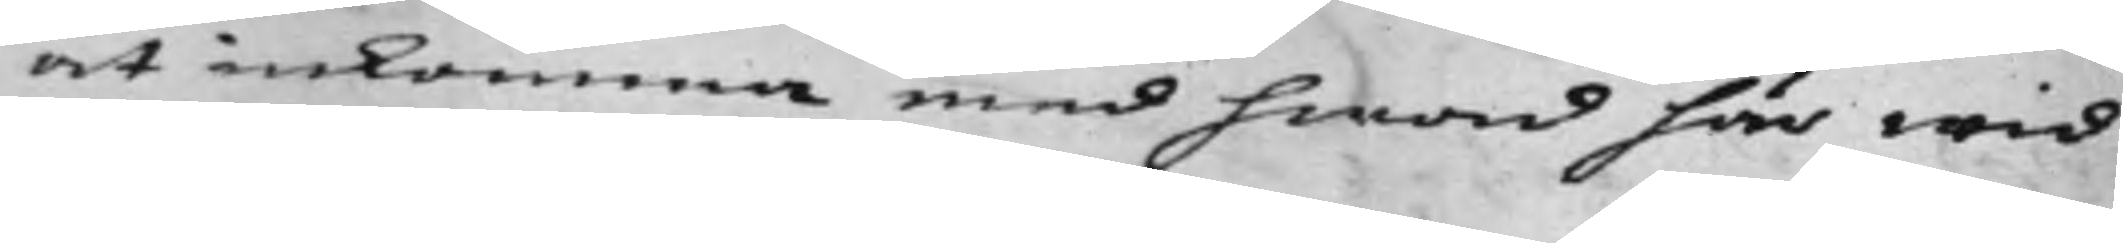at inkomma med hwad här wid
